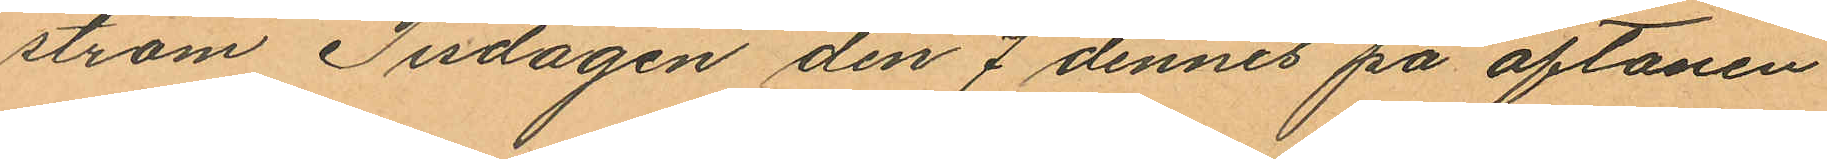ström Tisdagen den 7 dennes på aftonen
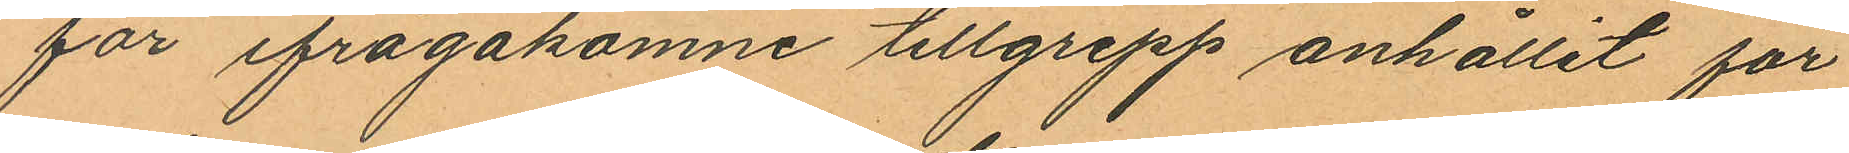för ifrågakomne tillgrepp anhållit för
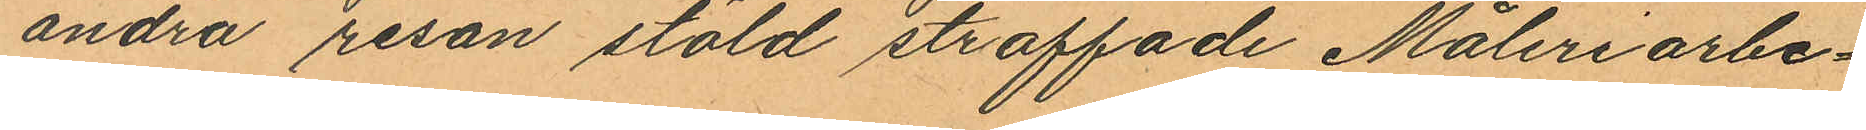andra resan stöld straffade Måleriarbe¬
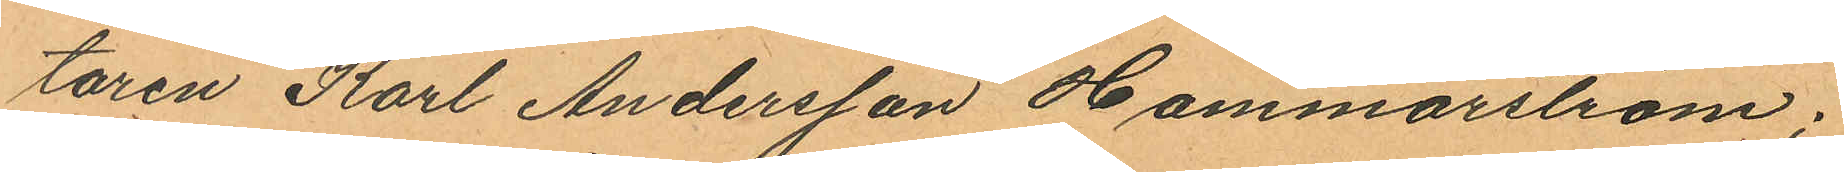taren Karl Andersson Hammarström;
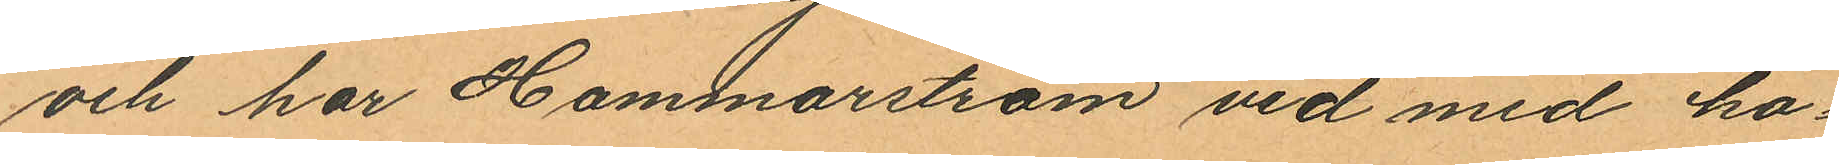och har Hammarström vid med ho¬
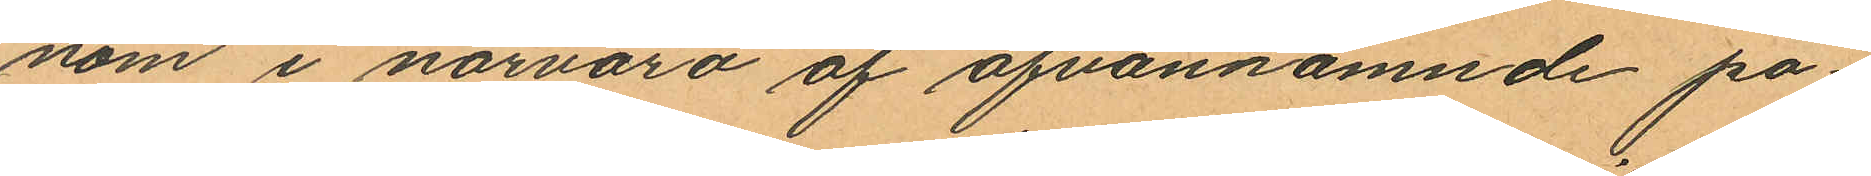nom i närvaro af ofvannämnde po¬
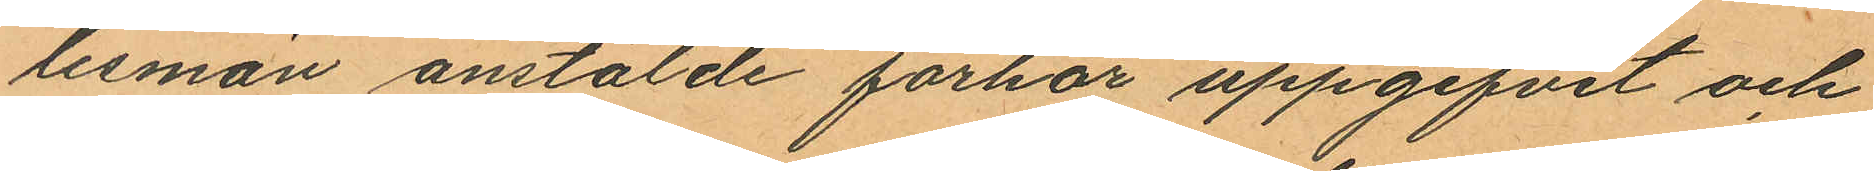lismän anstälde förhör uppgifvit och
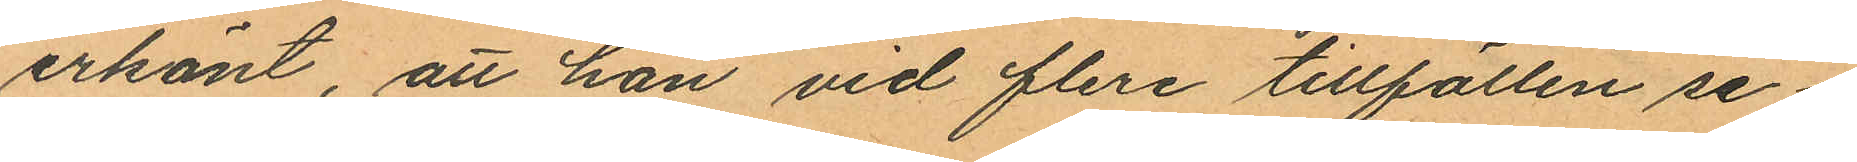erkänt, att han vid flera tillfällen se¬
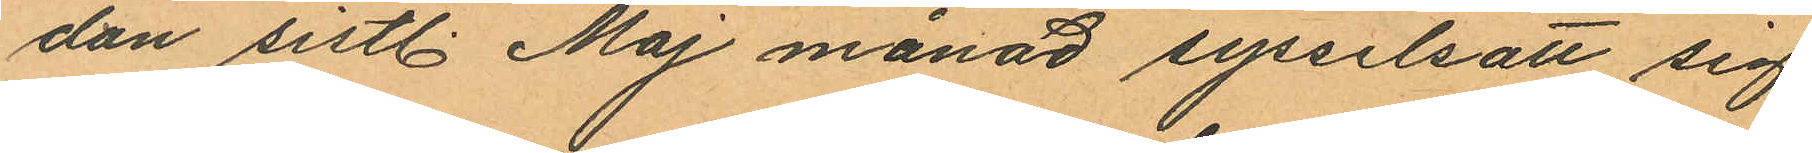dan sistl. Maj månad sysselsatt sig
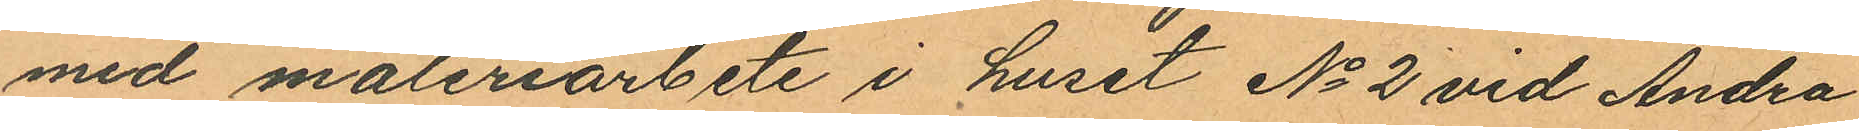med måleriarbete i huset No 2 vid Andra
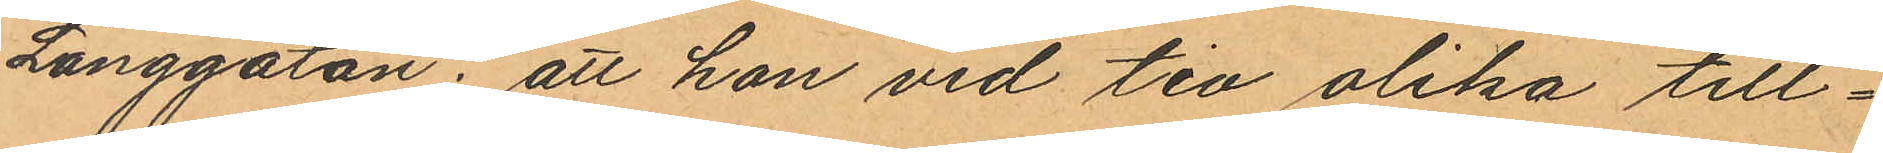Långgatan; att han vid tio olika till¬
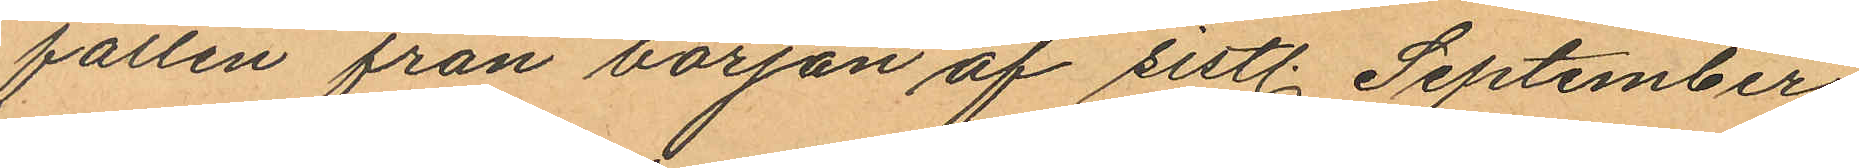fällen från början af sistl. September
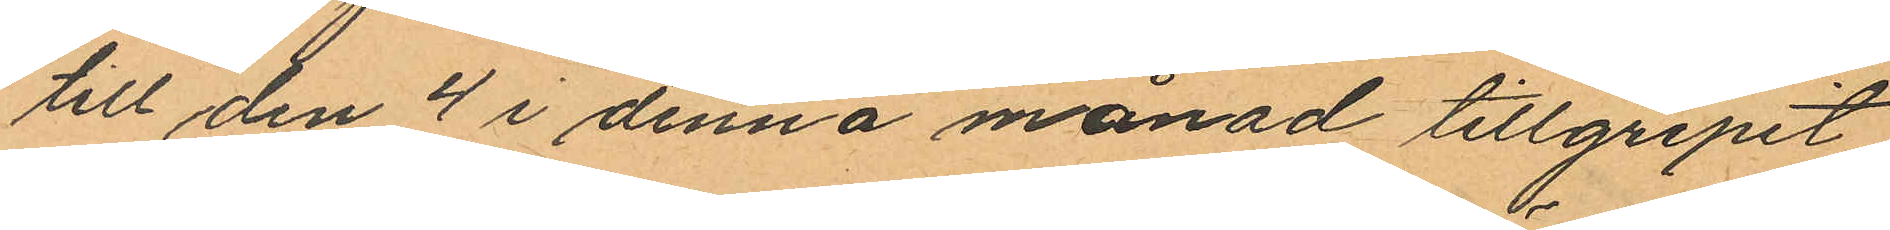till den 4 i denna månad tillgripit
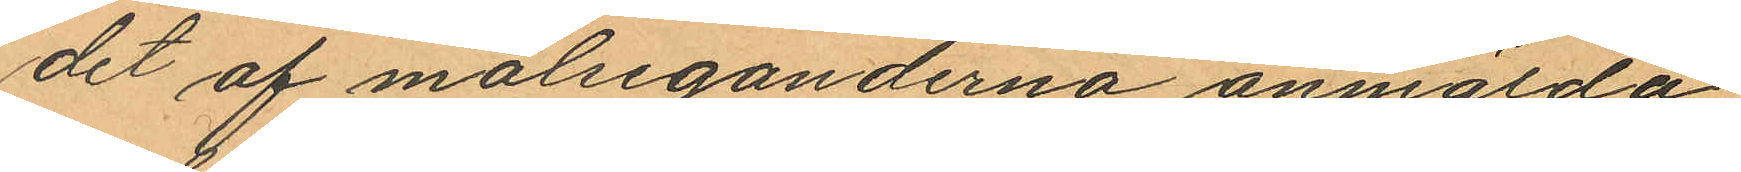det af målseganderna anmälda
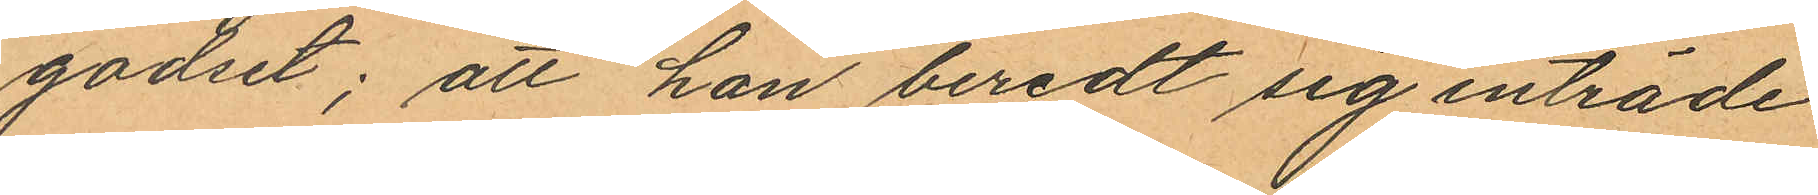godset; att han beredt sig inträde
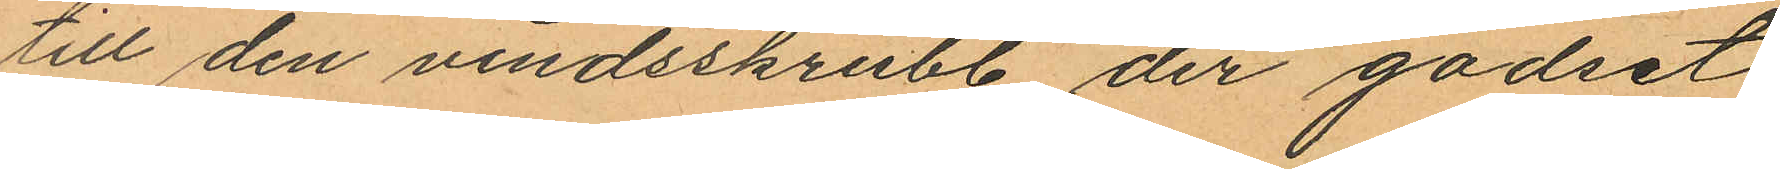till den vindsskrubb der godset
